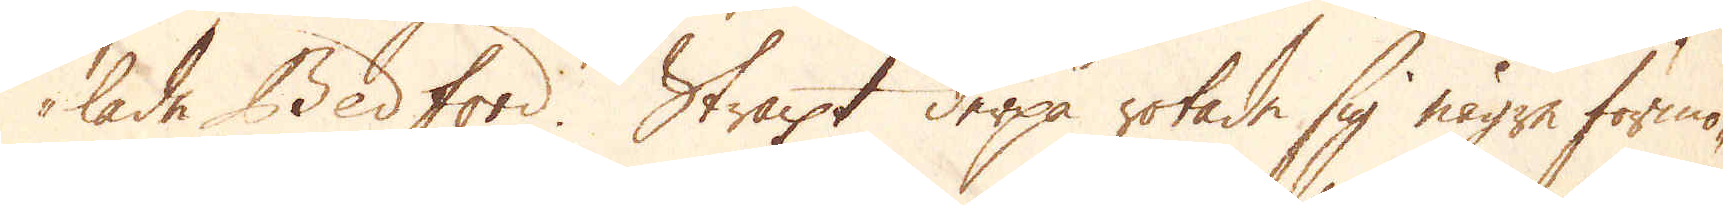lade Bedford. Straxt derpå rotade sig någre förmö-
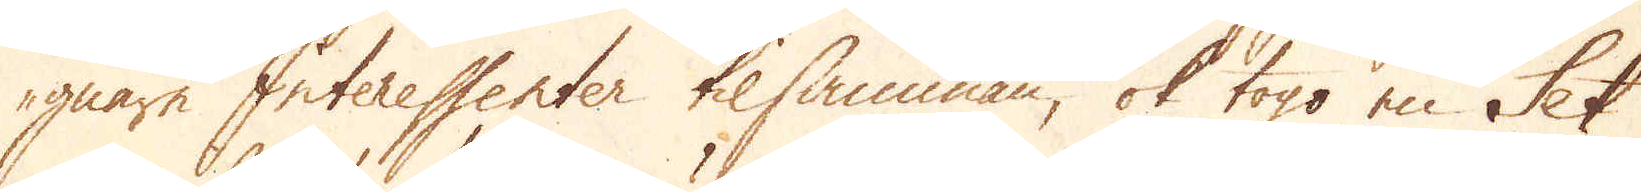gnare Interessenter tilsamman, ok togo en Set
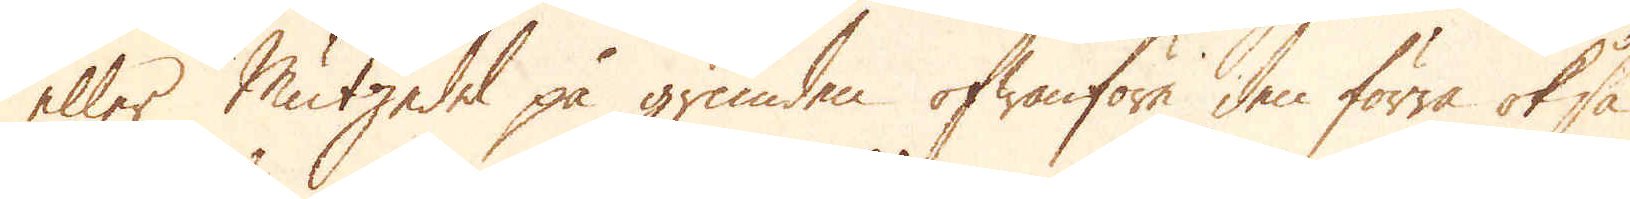eller Mutzedel på grunden ofwanföre den förra ok så
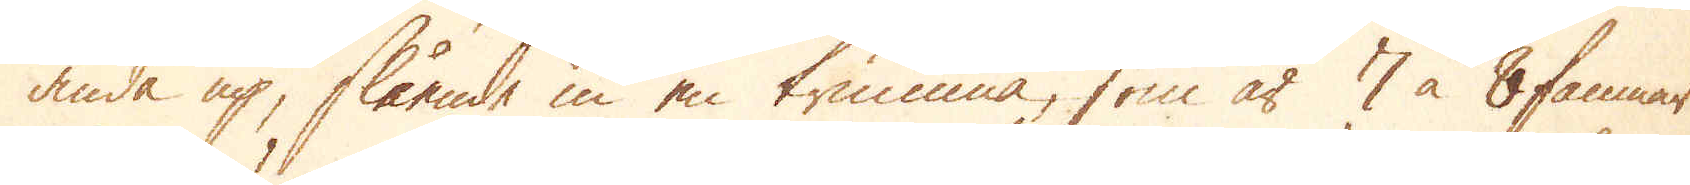ända up, slående in en trumma, som är 7 à 8 famnar
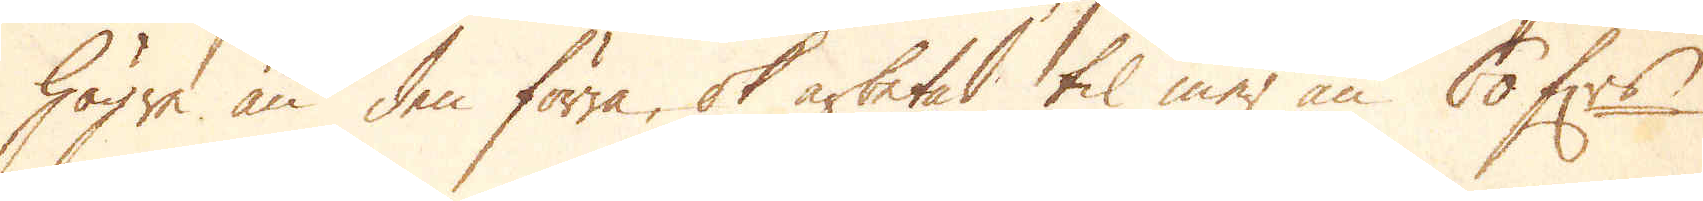högre än den förra, ok arbetad til mer än 60 f:rs
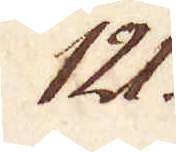121.
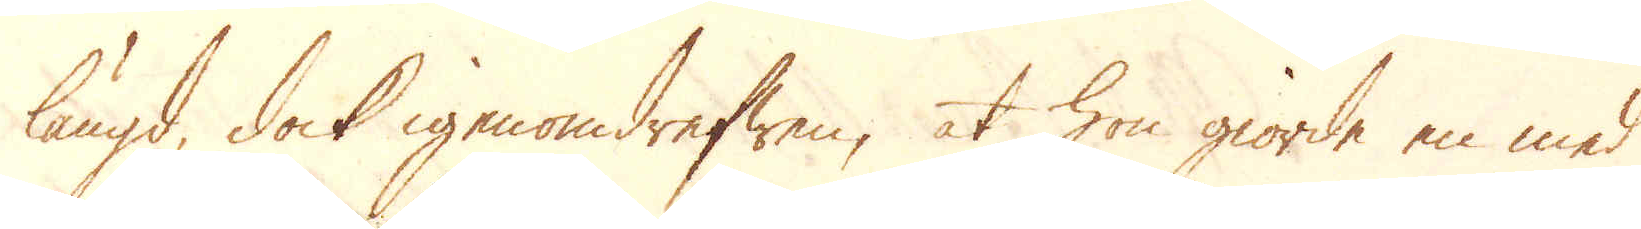längd, dock igenomdrefwen, at hon giorde en med
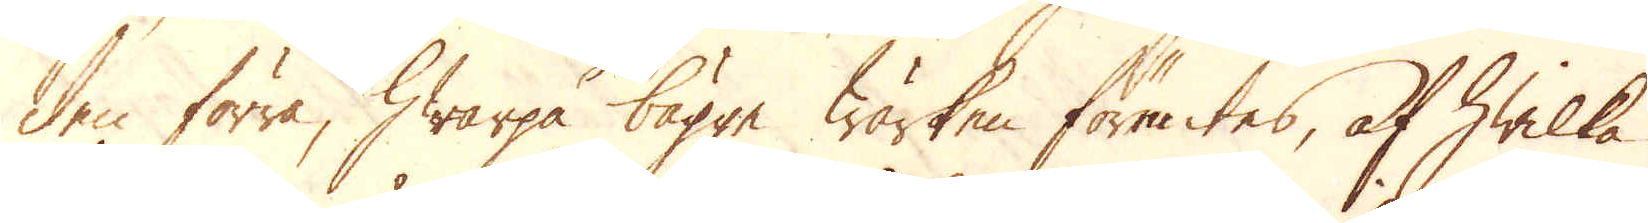den förra, hwarpå bägge Wärken förentes, af hwilka
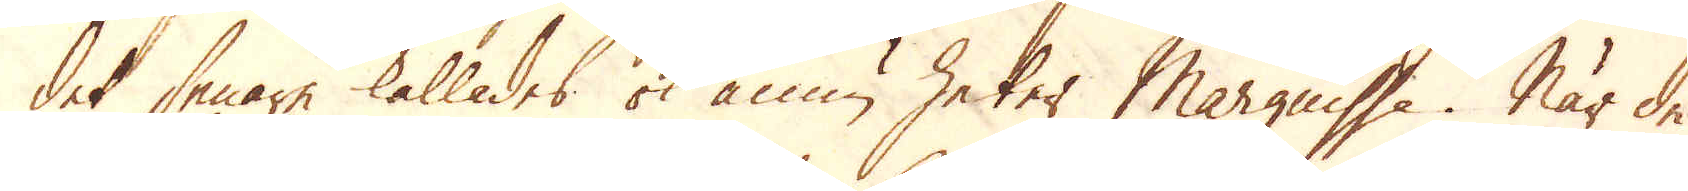det senare kallades ok ännu heter Marguisse. När de
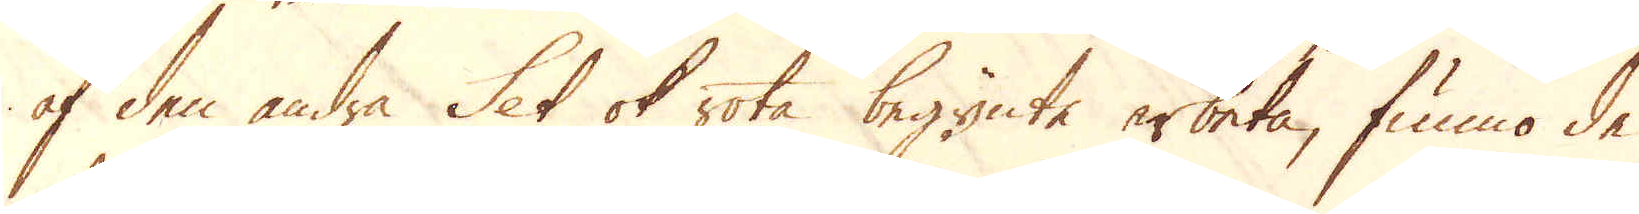af den andra Set ok rota begynte arbeta, funno de
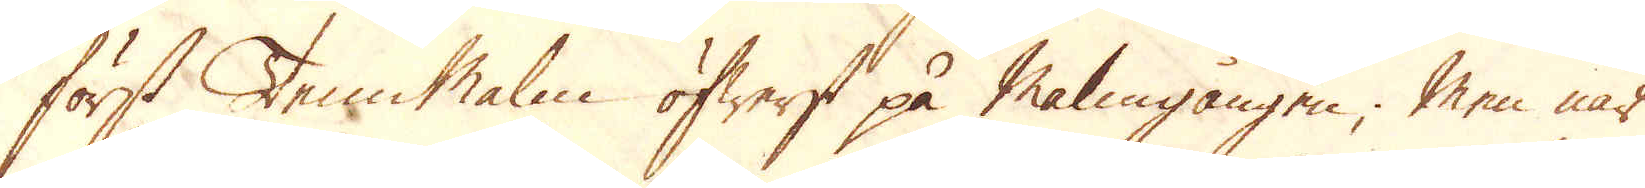först Tenn Malm öfwerst på Malmgången; Men när
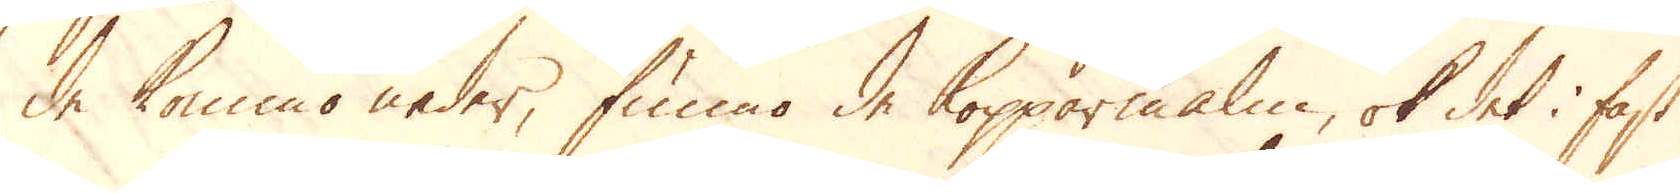de kommo neder, funno de Kopparmalm, ok det i fast
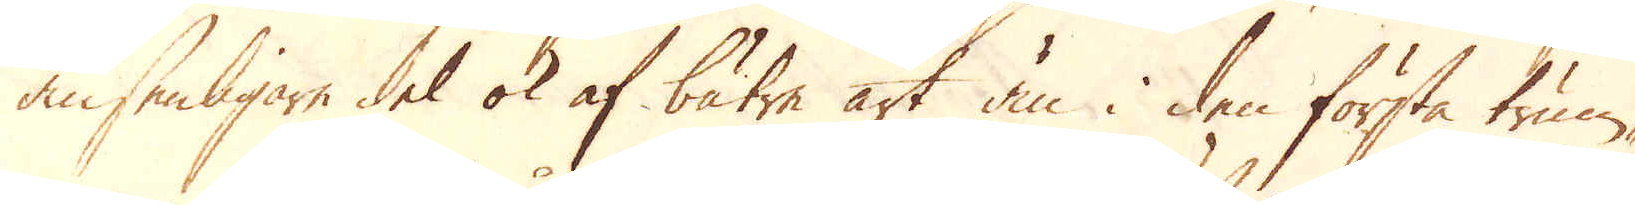ansenligare del ok af bätre art än i den första trum-
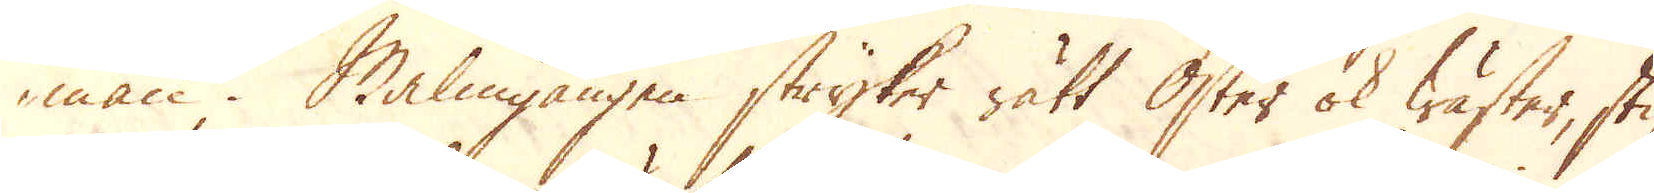man. Malmgången stryker rätt Öster ok Wäster, sti-
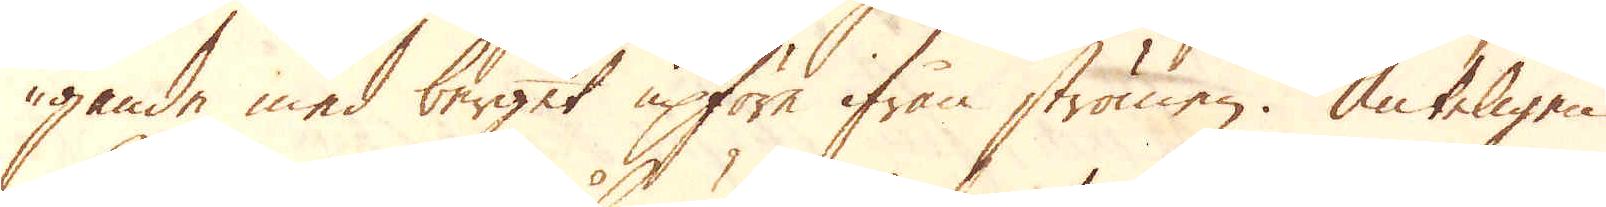gande med berget upföre ifrån strömen. Änteligen
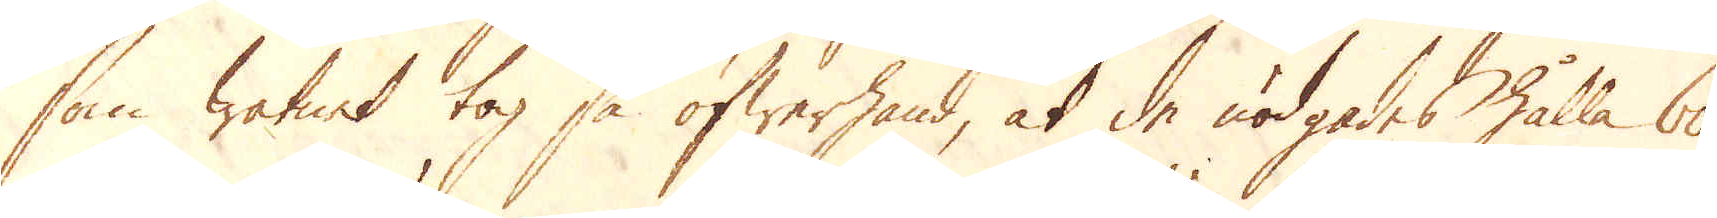som watnet tog så öfwerhand, at de nödgades hålla 60
